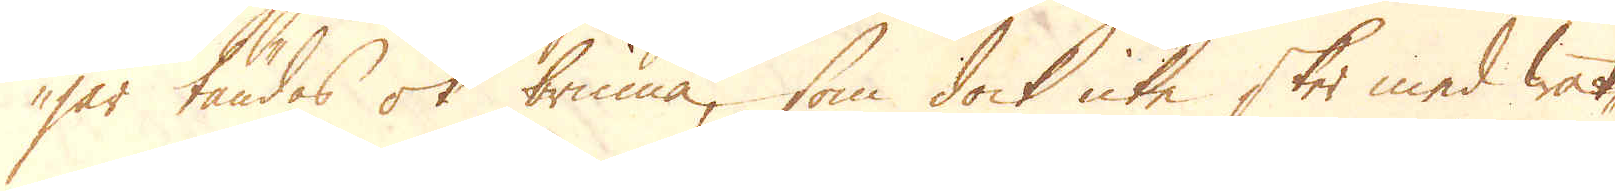jar tändas ok brinna, som dock icke sker med wat-
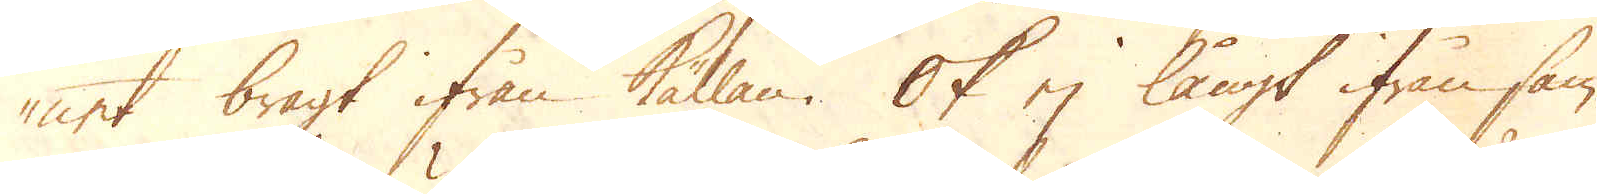net bragt ifrån källan. Ok ej långt ifrån sam-
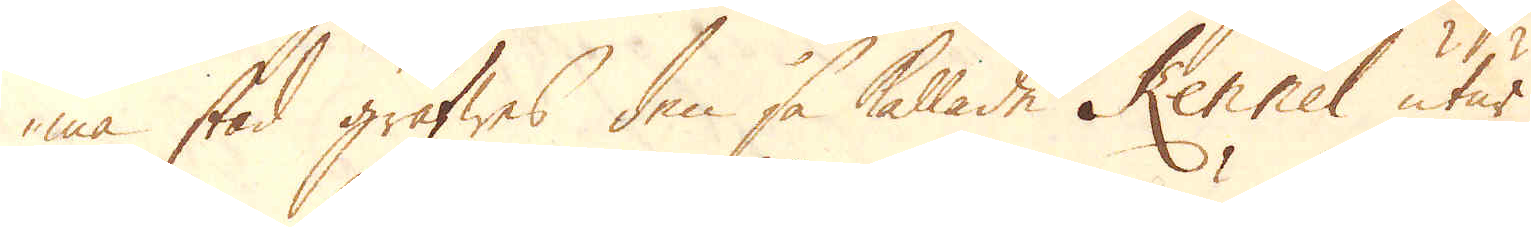ma stad gräfwes den så kallade Kennel utur
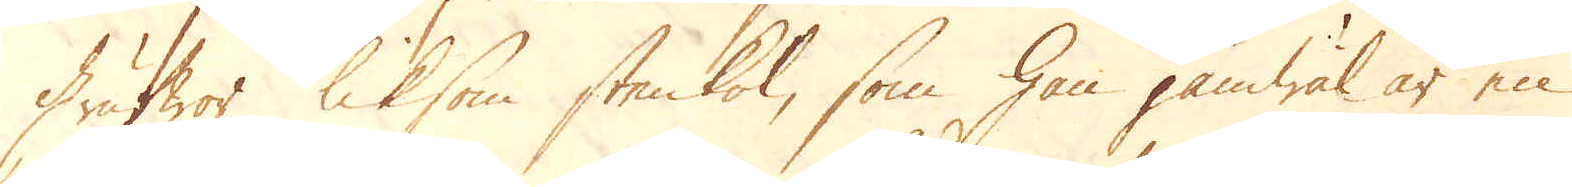Grufwor liksom stenkol, som han jämwäl är en
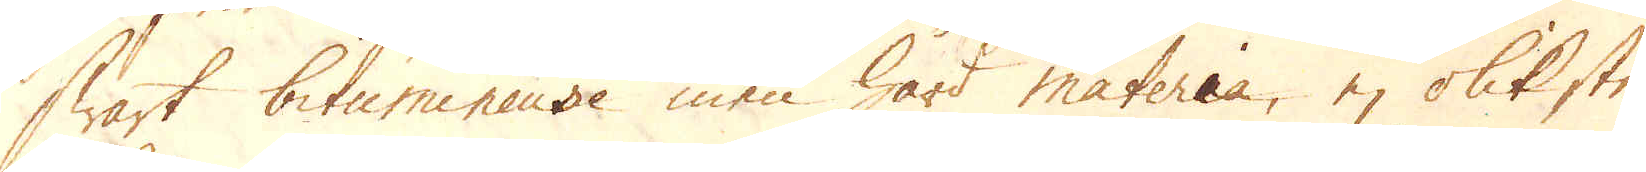swart bitumineuse men hård materia, ej olik sten-
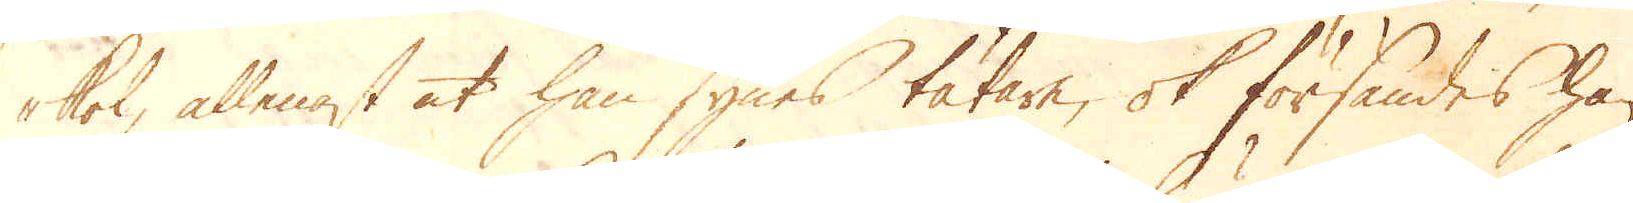kol, allenast at han synes tätare, ok försändes han
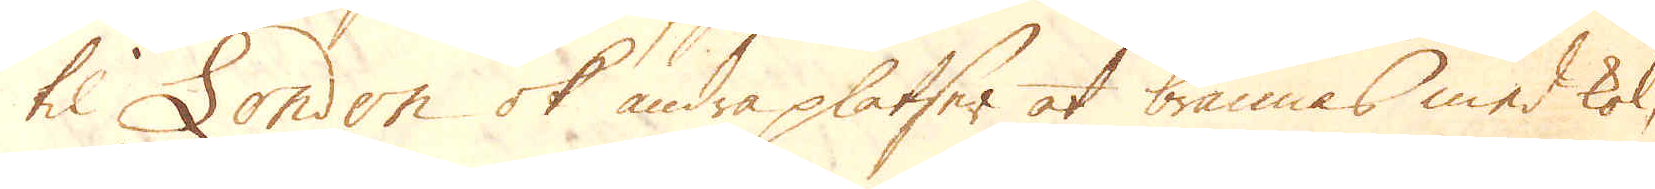til London ok andra platser at brännas med kol,
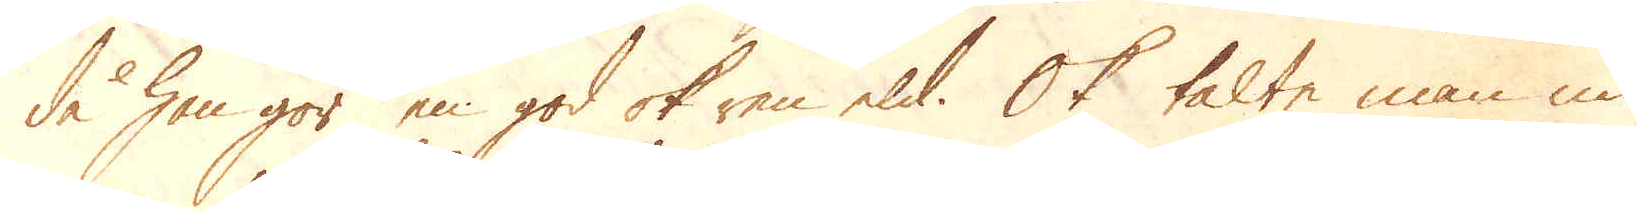då han gör en god ok ren eld. Ok talte man nu
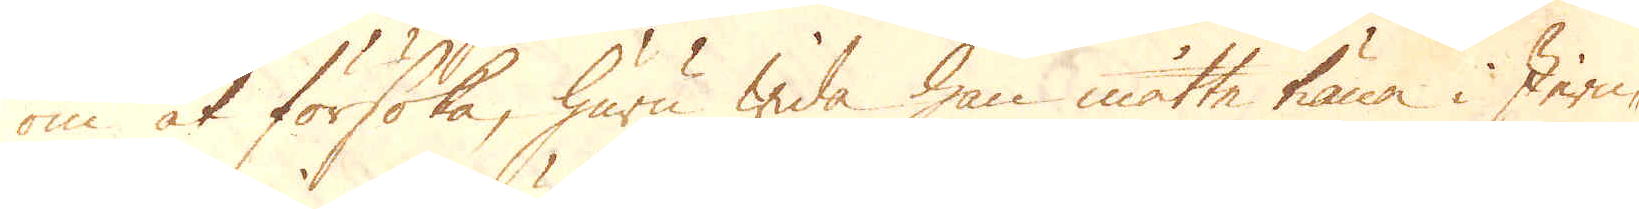om at försöka, huru wida han måtte tiäna i Jern-
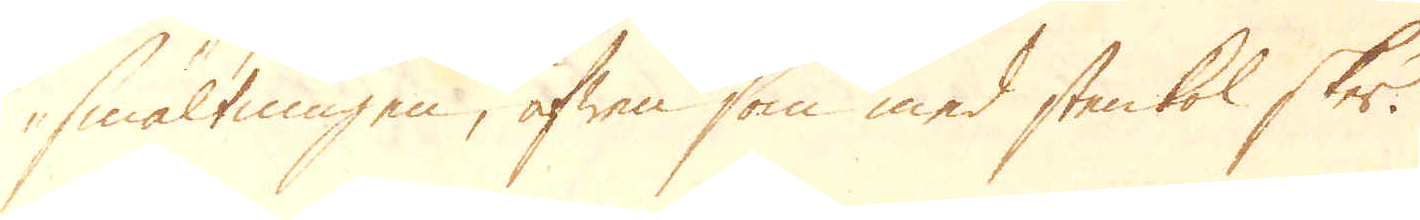smältningen, äfwen som med stenkol sker.
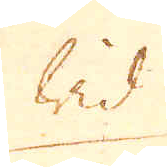Wid
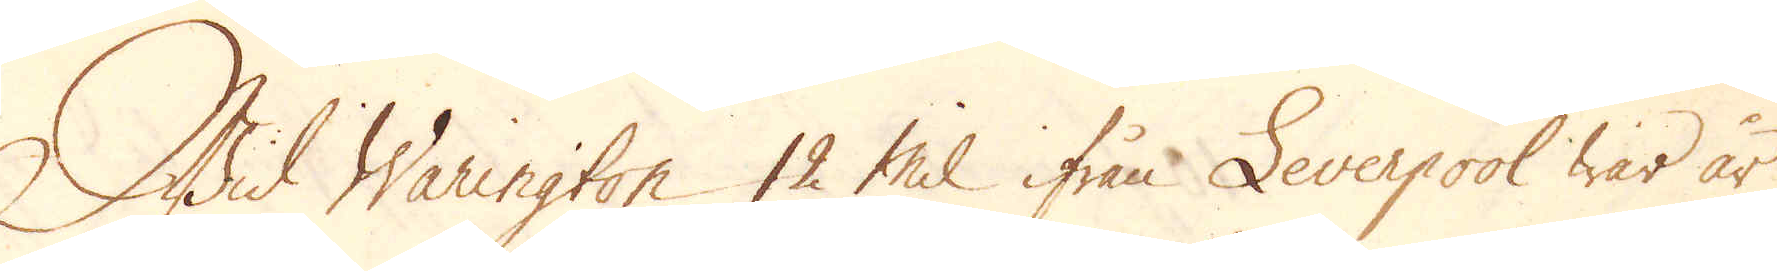Wid Warington 12 Mil ifrån Leverpool war år
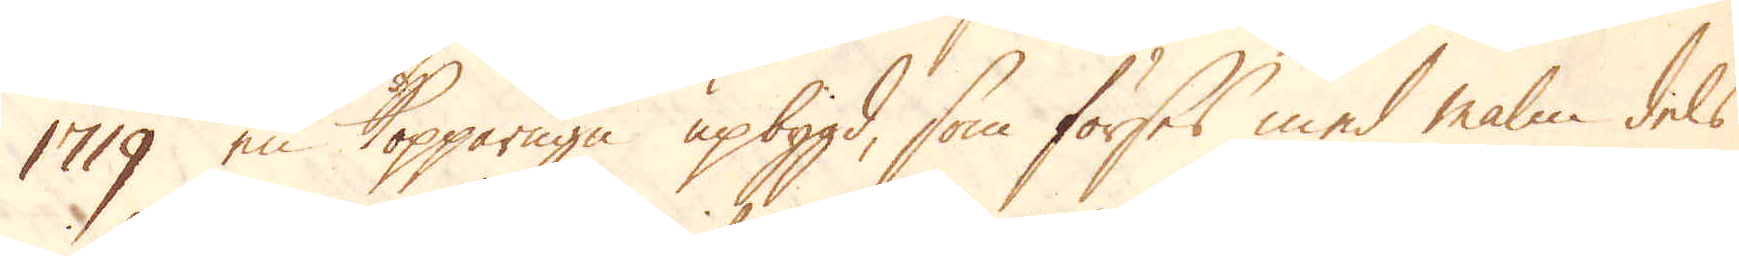1719 en Kopparugn upbygd, som förses med malm dels
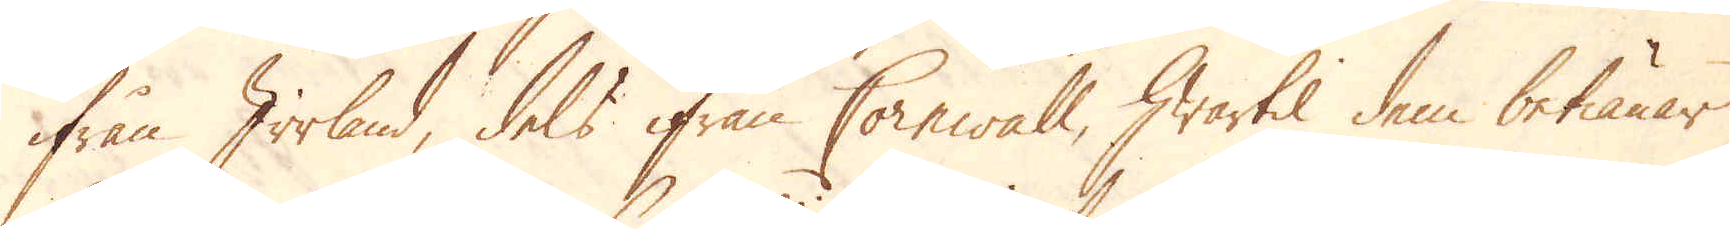ifrån Irrland, dels ifrån Cornwall, hwartil dem betiänar
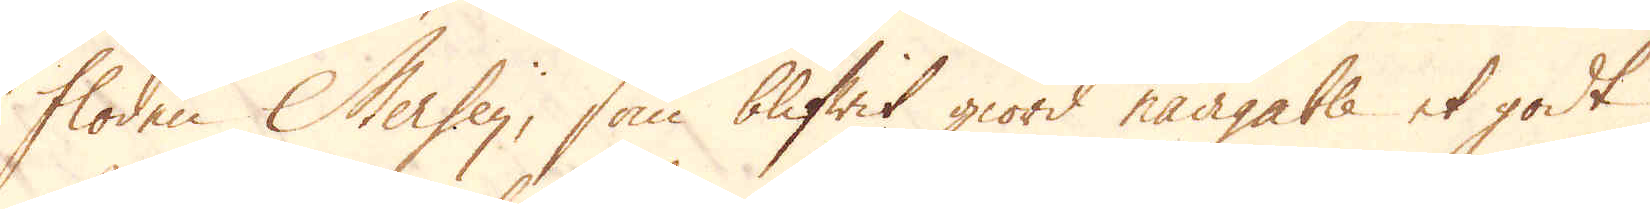floden Mersey, som blifwit giord navigable et godt
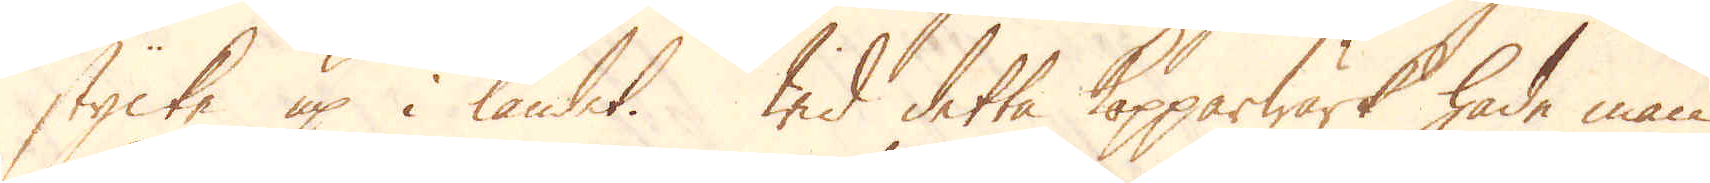stycke up i landet. Wid detta Kopparwärk hade man
